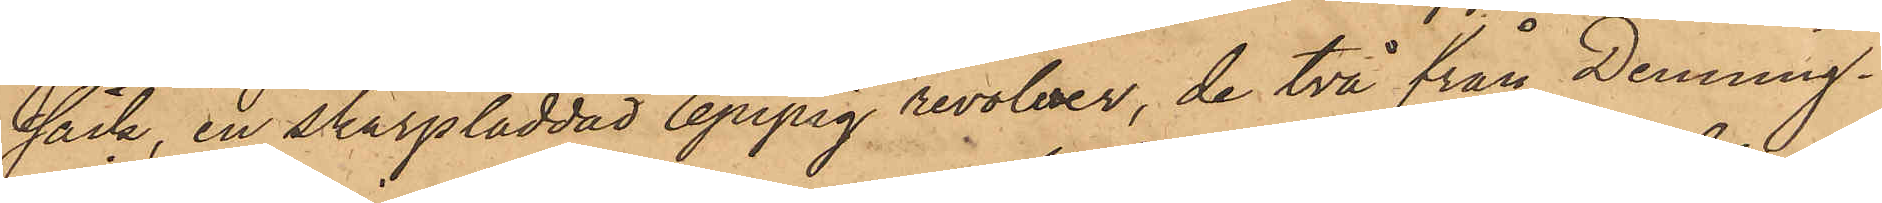säck, en skarpladdad 6pipig revolver, de två från Denning¬
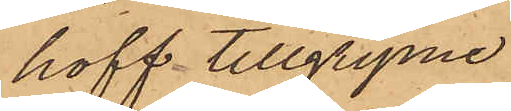hoff tillgripne
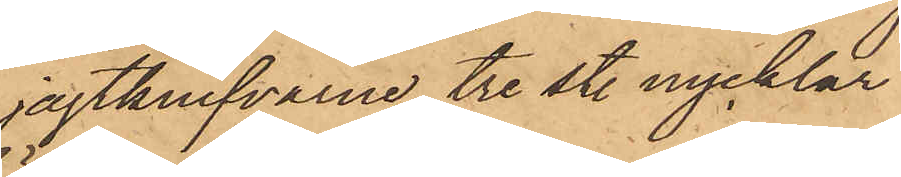jagtknifvarne tre st. nycklar
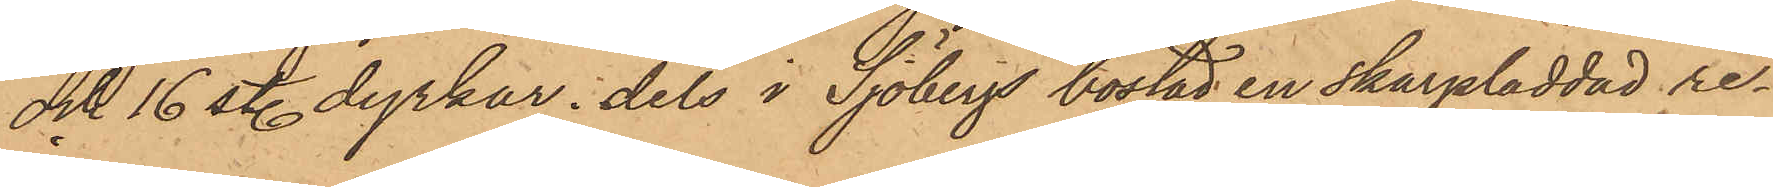och 16 st. dyrkar, dels i Sjöbergs bostad en skarpladdad re¬
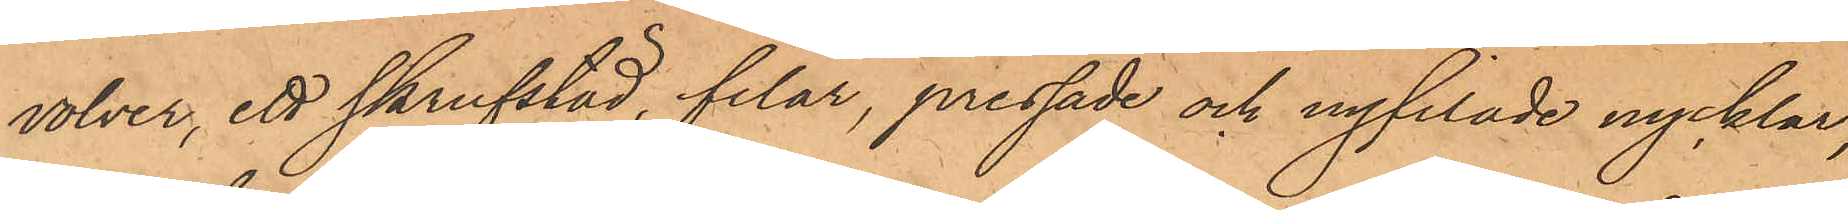volver, ett skrufstäd, filar, pressade och nyfilade nycklar,
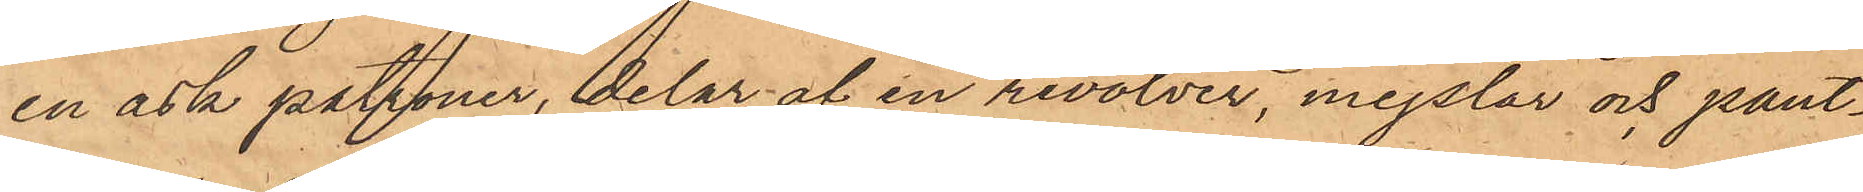en ask patroner, delar af en revolver, mejslar och pant¬
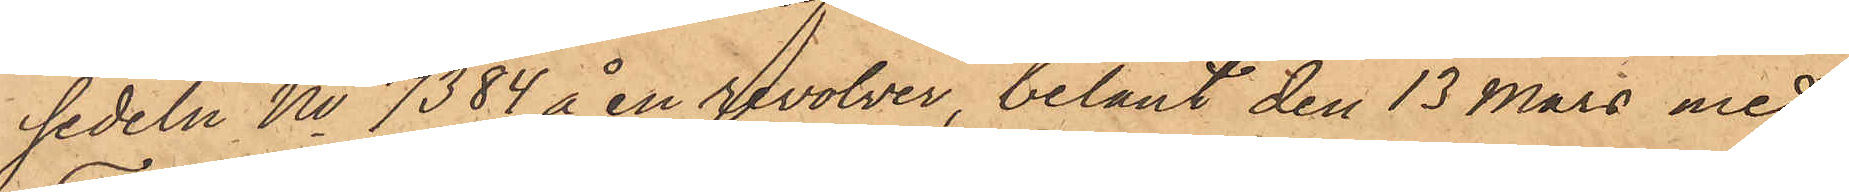sedeln No 7384 å en revolver, belånt den 13 Mars med
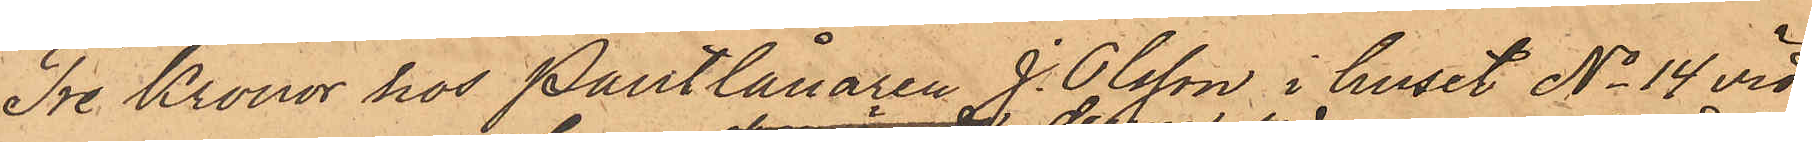Tre Kronor hos Pantlånaren J. Olsson i huset No 14 vid
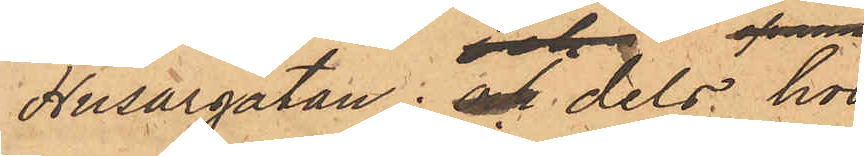Husargatan; och dels hos
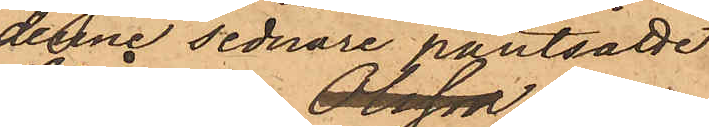denne sednare pantsatte
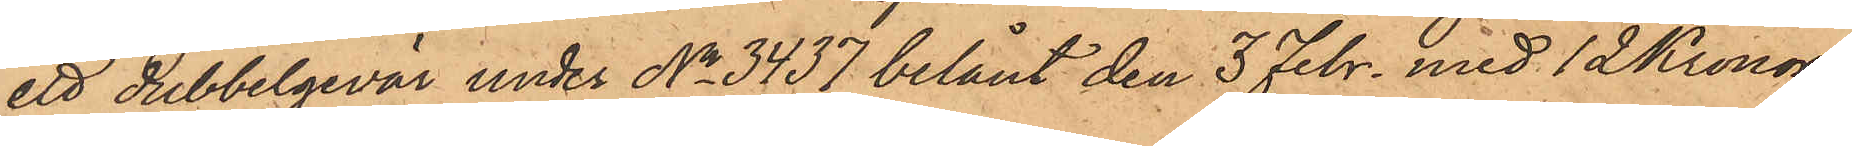ett dubbelgevär under No 3437 belånt den 3 Febr. med 12 Kronor.
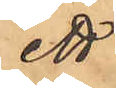ett
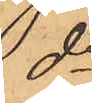do
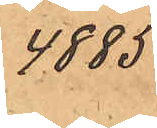4885
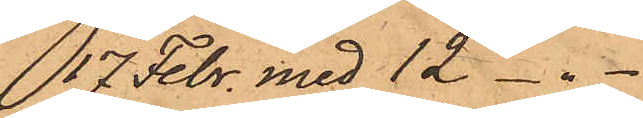17 Febr. med 12 - " -
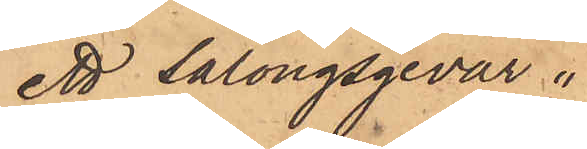ett Salongsgevär
